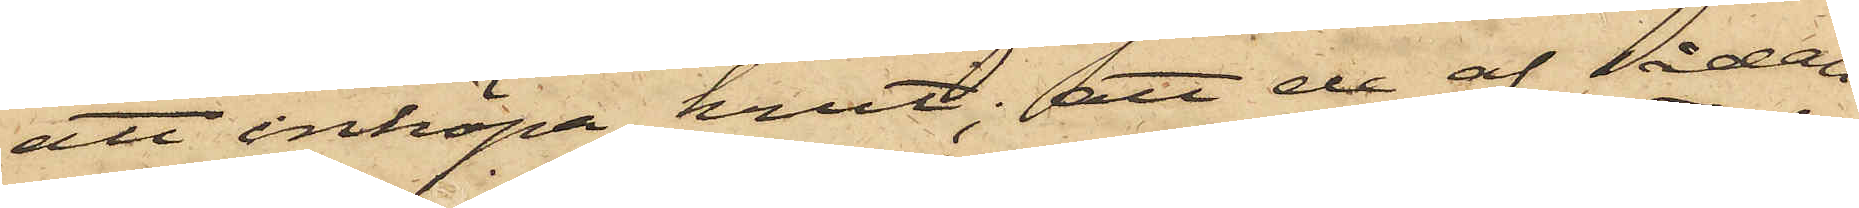att inköpa krut; att de af sådan
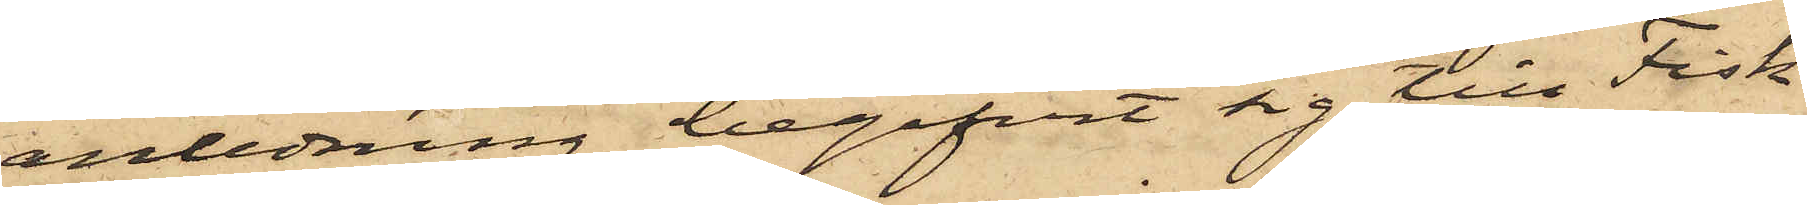anledning begifvit sig till Fisk¬
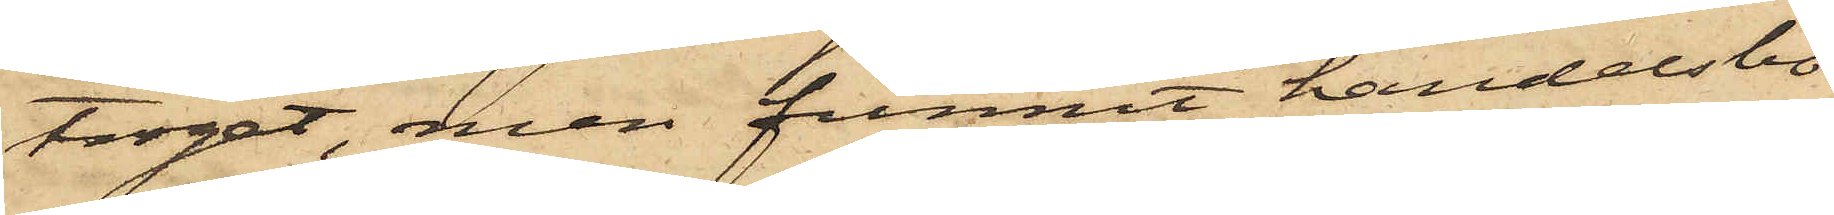torget, men funnit handelsbo¬
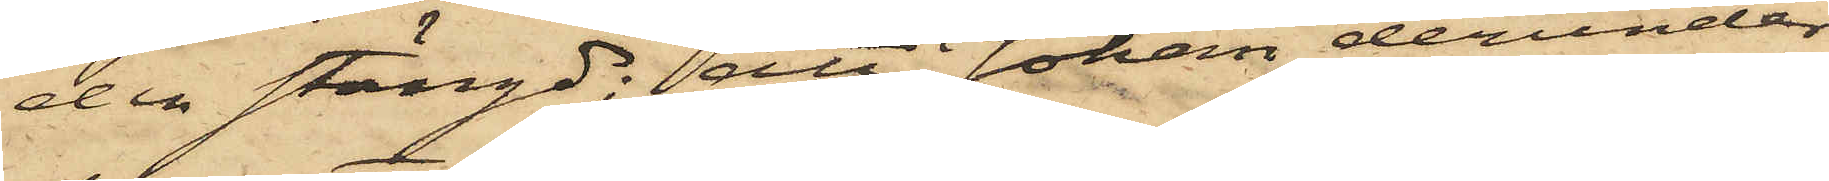den stängd; att Johan derunder
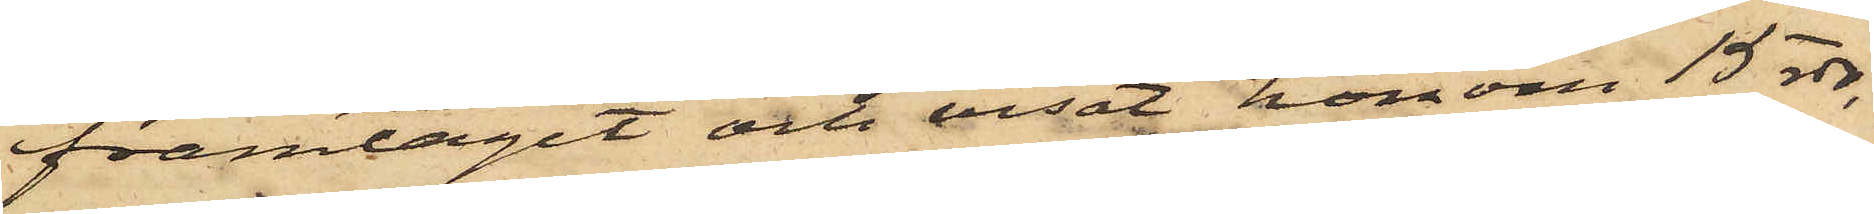framtagit och visat honom 15 rdr,
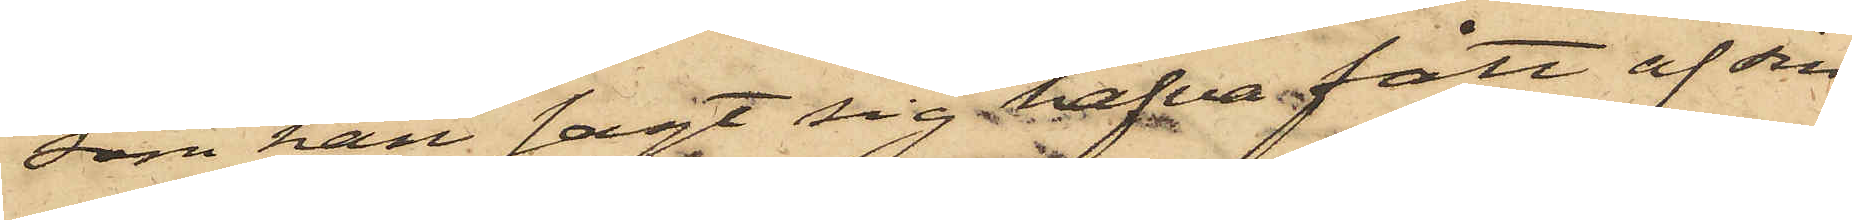som han sagt sig hafva fått af sin
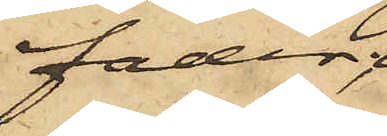fader;
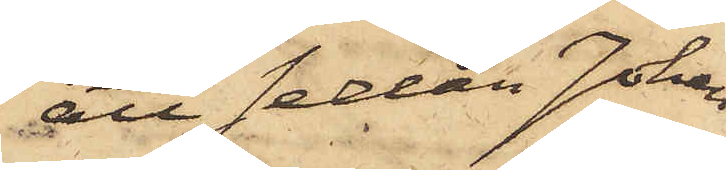att sedan Johan
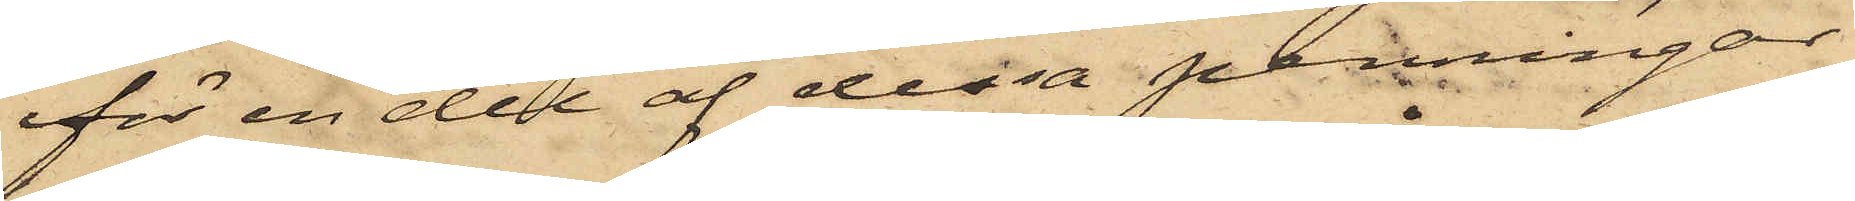för en del af dessa penningar
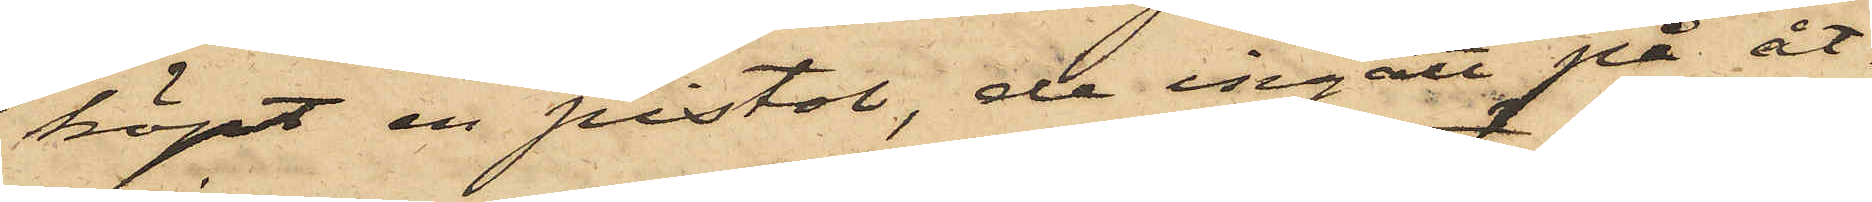köpt en pistol, de ingått på åt¬
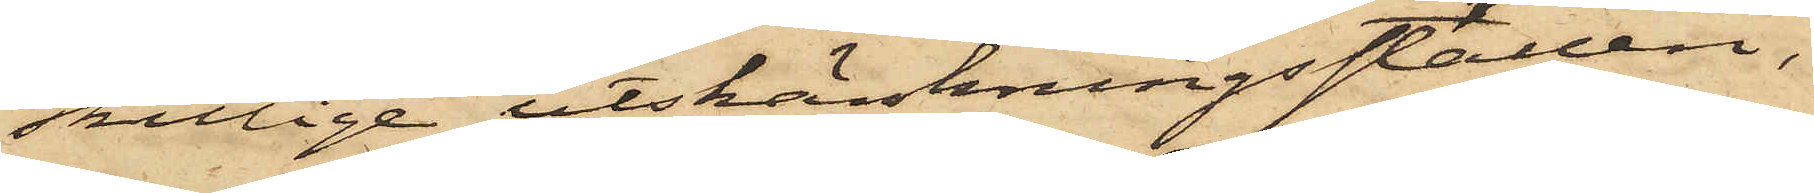skillige utskänkningsställen,
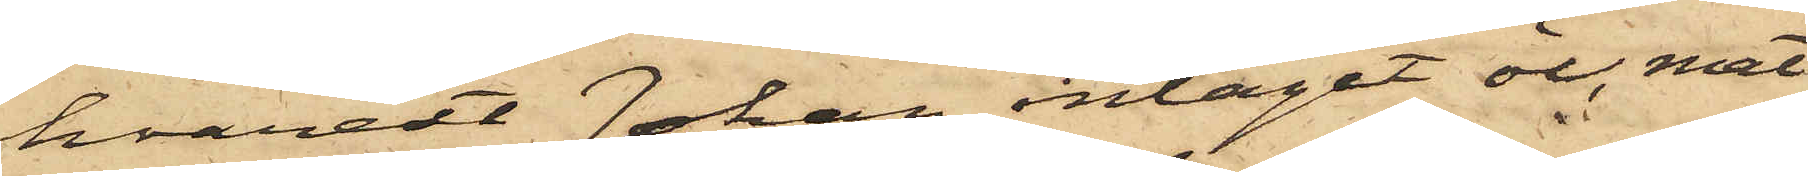hvarest Johan intagit öl, mat
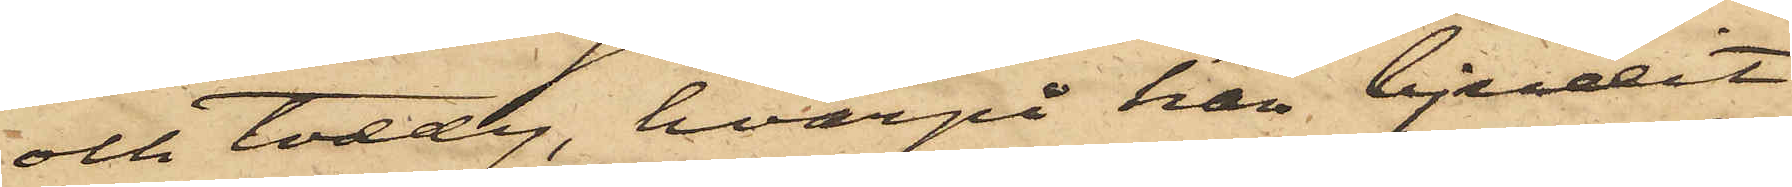och toddy, hvarpå han bjudit
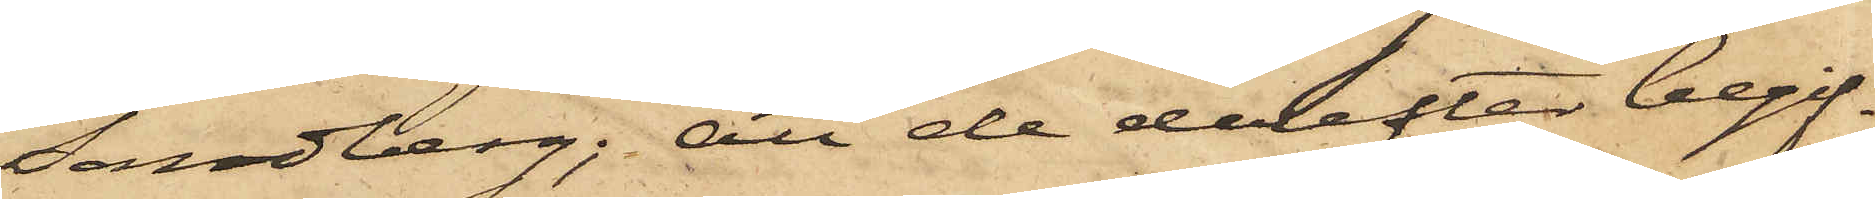Sandberg; att de derefter begif¬
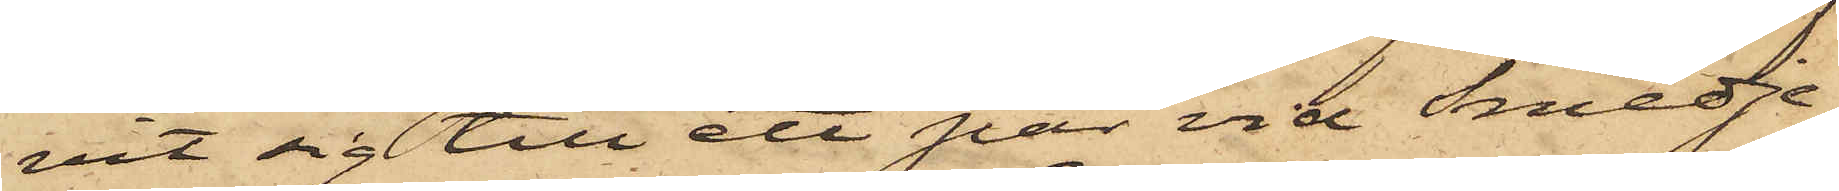vit sig till ett par vid Smedje¬
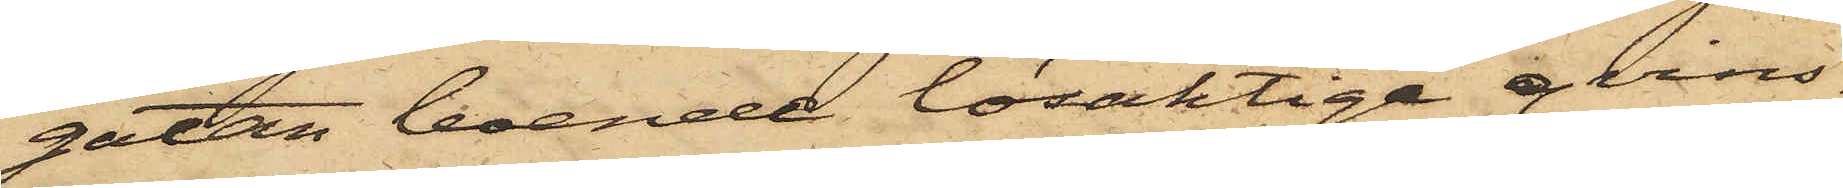gatan boende lösaktige qvins¬
